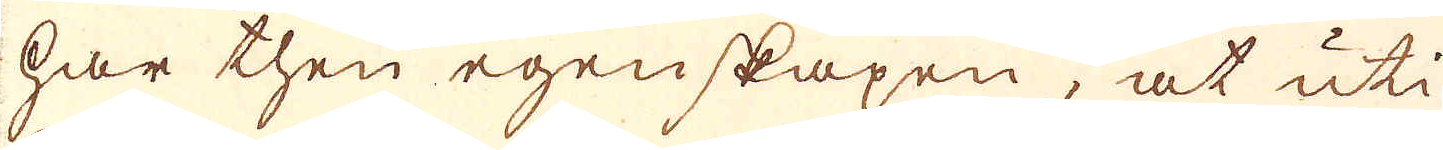har then egenskapen, at uti
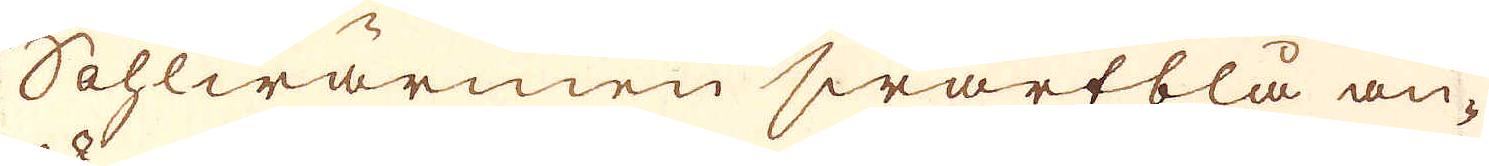Sohlwärmen swartblå an-
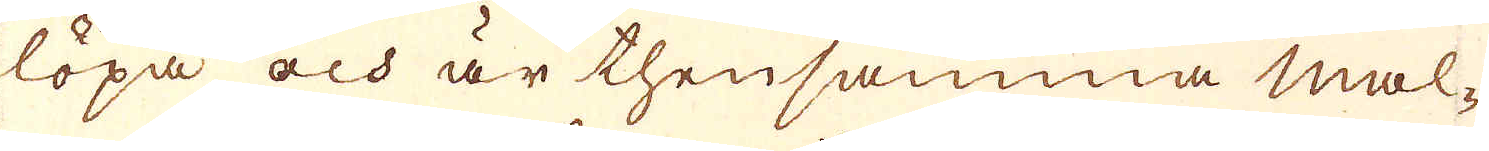löpa, och är thensamma mal-
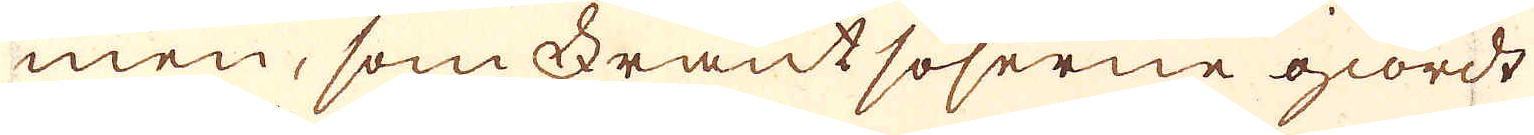men, som Frantsoserne giordt
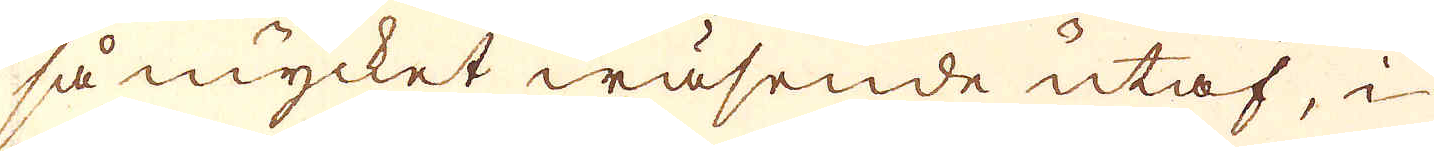så mycket wäsende utaf, i
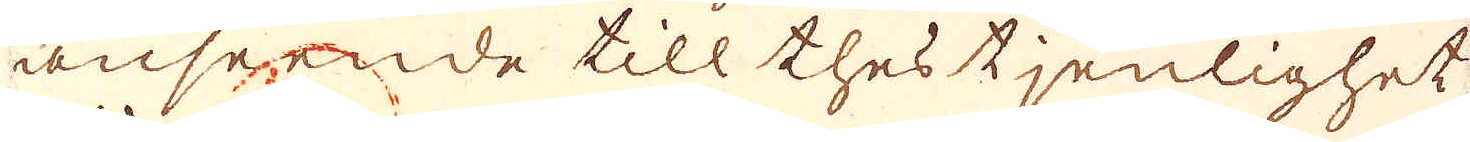anseende till thes tjenlighet
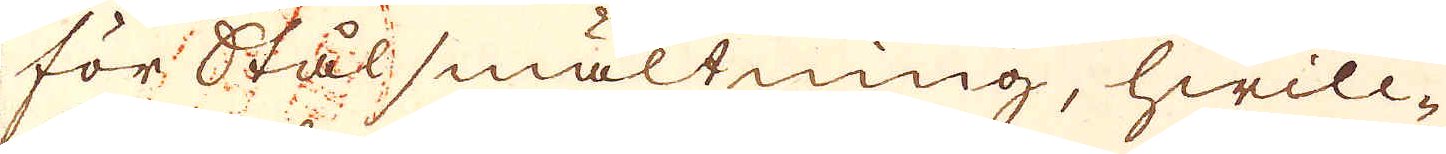för Stål smältning, hwilc-
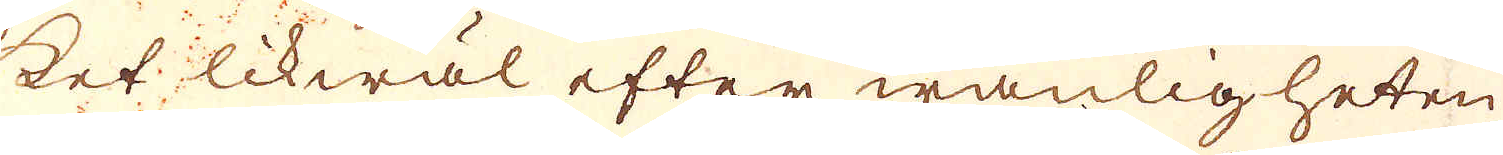ket likwäl efter wanligheten
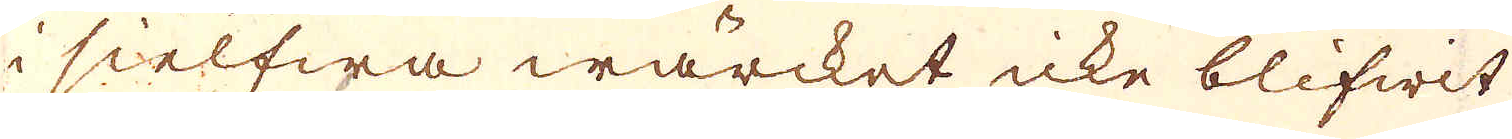i sielfwa wärcket icke blifwit
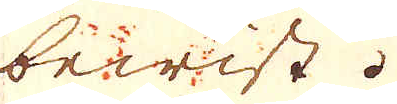bewist.
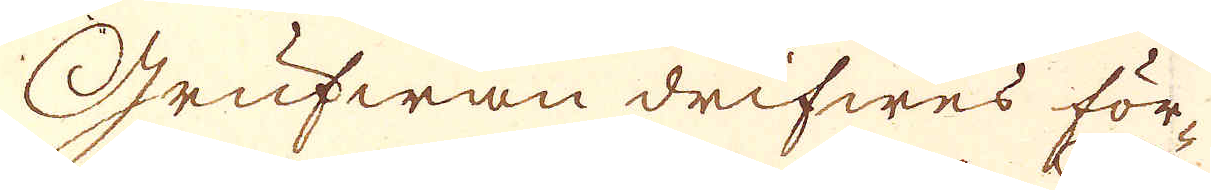Grufwan drifwes för-
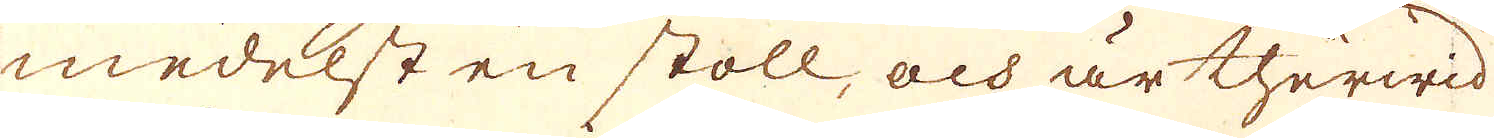medelst en stoll, och är therwid
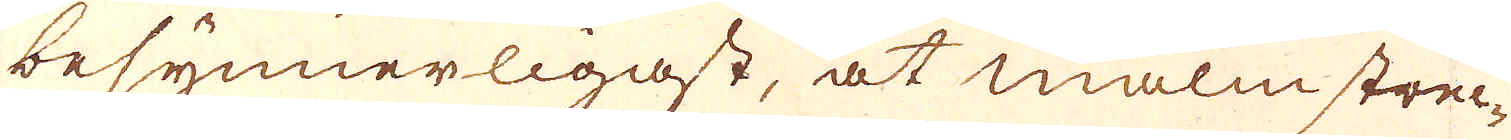besynnerligast, at malmstrec-
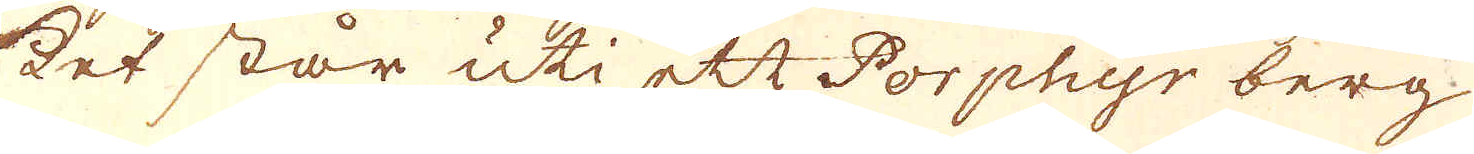ket står uti ett Porphyr berg
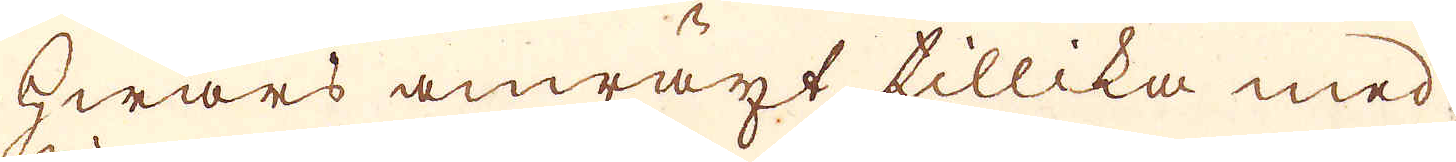hwars anwäxt tillika med
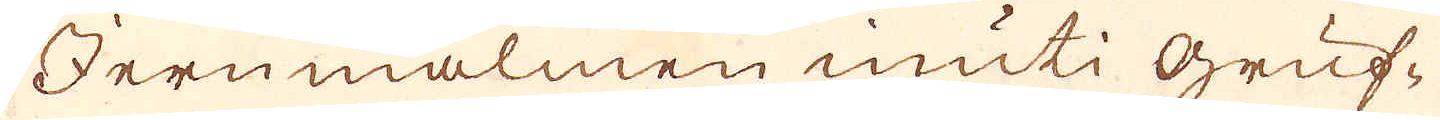Jernmalmen inuti gruf-
